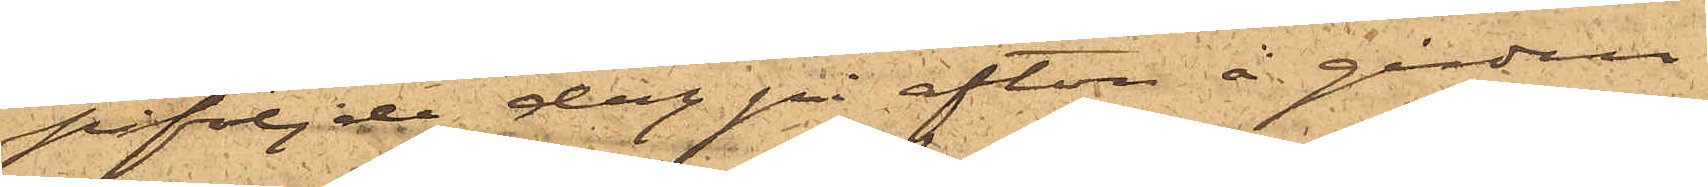påföjde dag på afton å gården
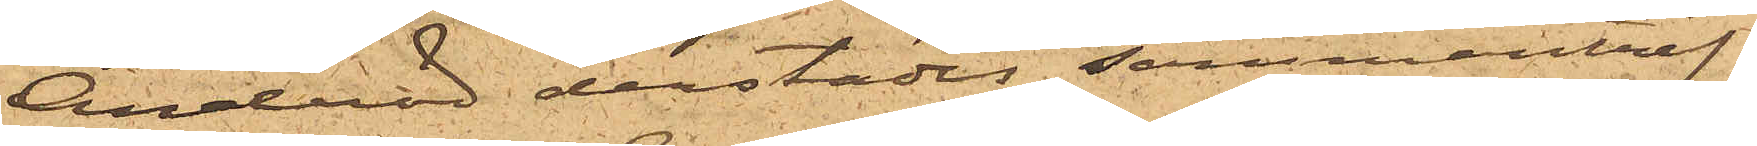Andröd derstädes sammanträf¬
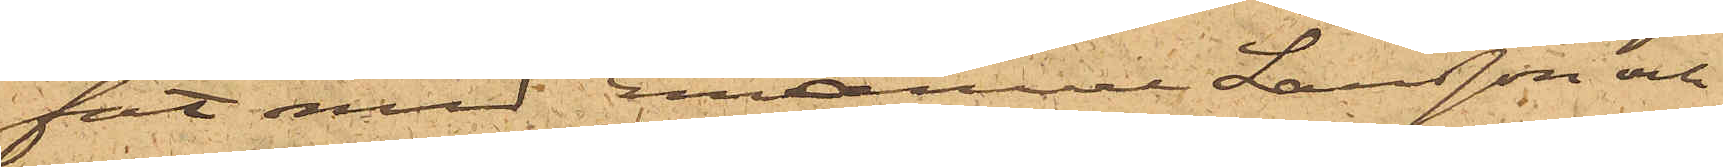fat med Emanuel Larsson och
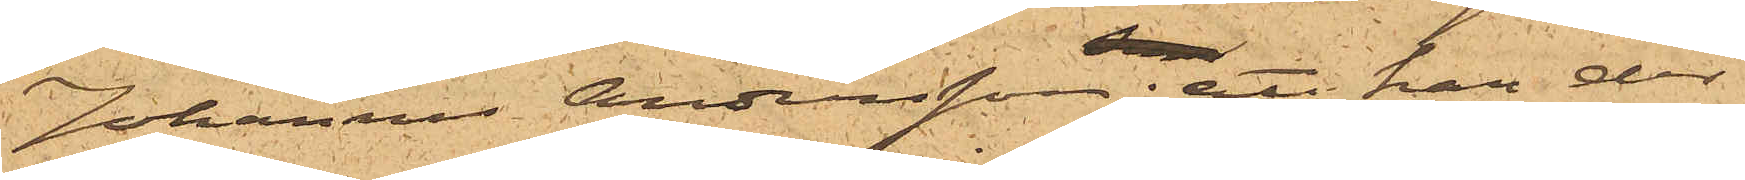Johannes Andersson; att han der
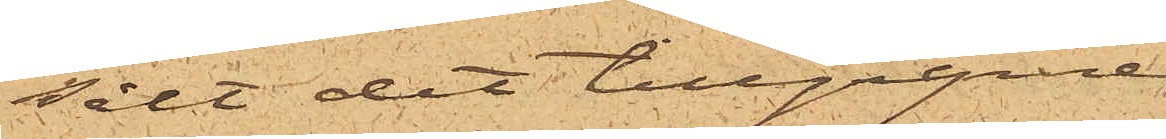sålt det tillgripne
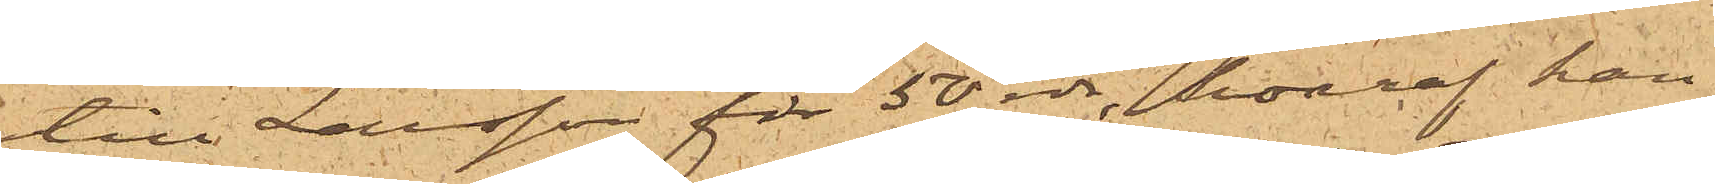till Larsson för 50 rdr, hvaraf han
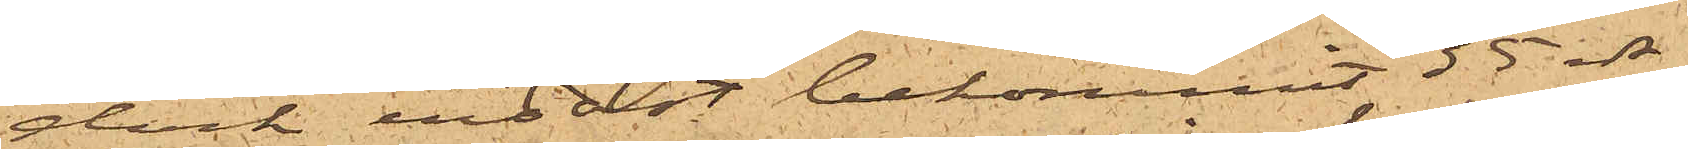dock endast bekommit 35 rdr,
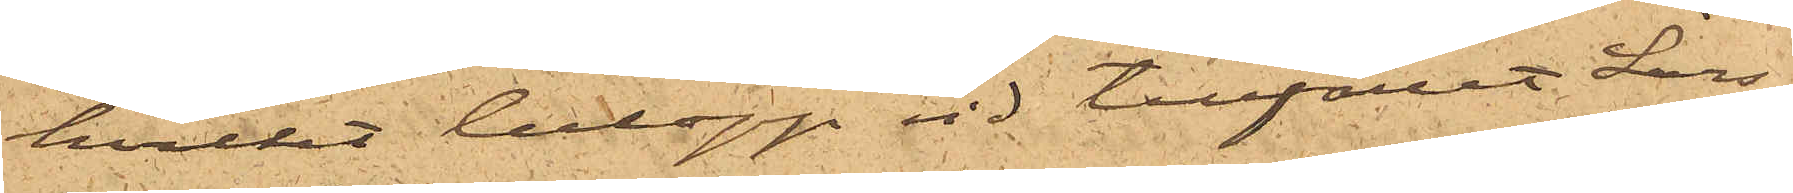hvilket belopp vid tillfället Lars¬
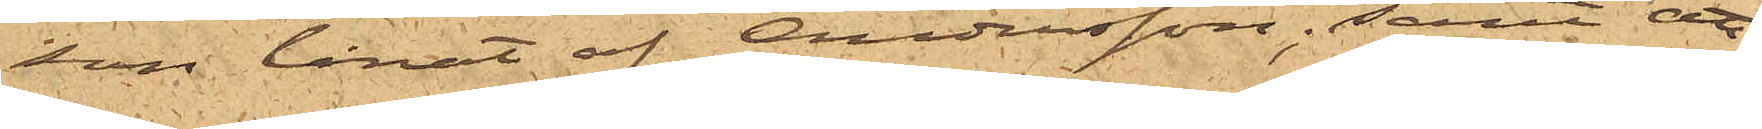son lånat af Andersson; samt att
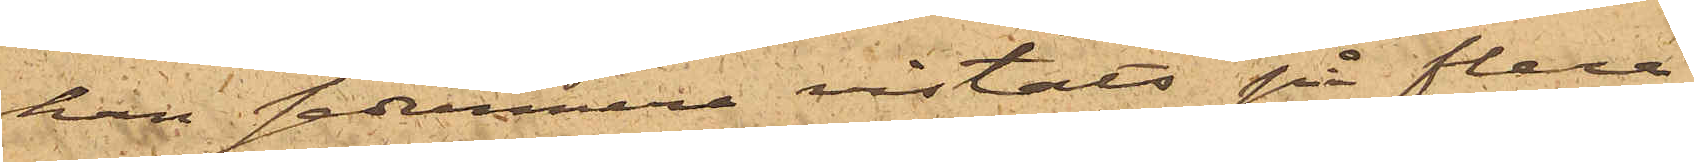han sedermera vistats på flera
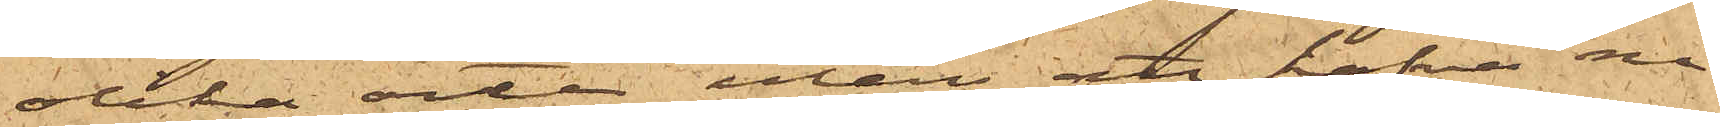olika orter utan att hafva nå¬
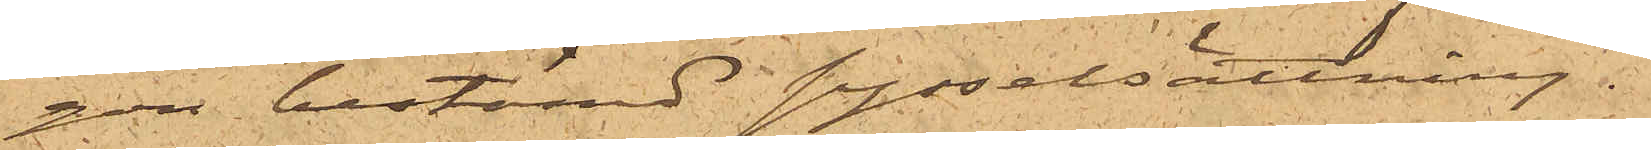gon bestämd sysselsättning.
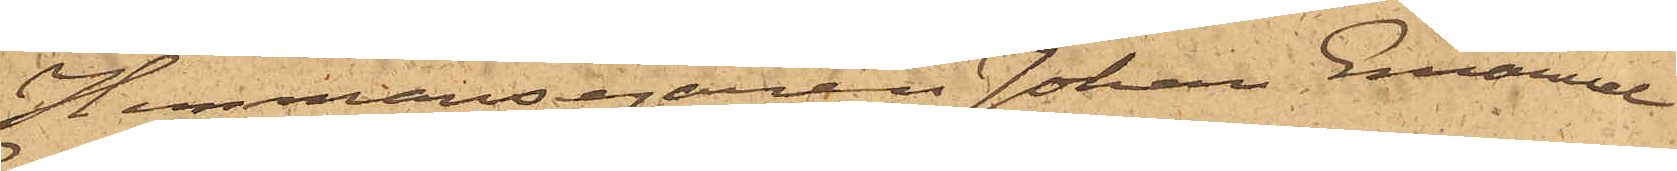Hemmansegaren Johan Emanuel
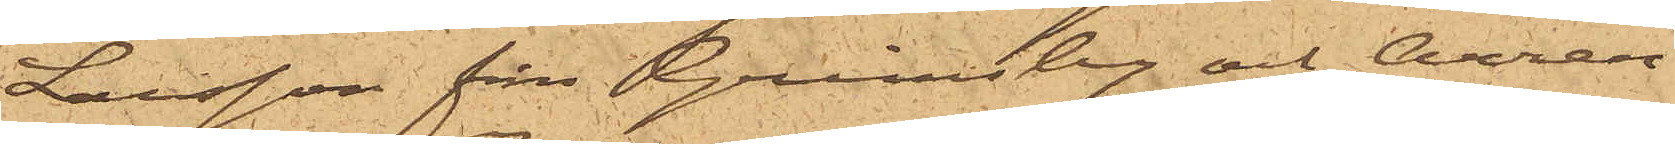Larsson från Grindsby och Arren¬
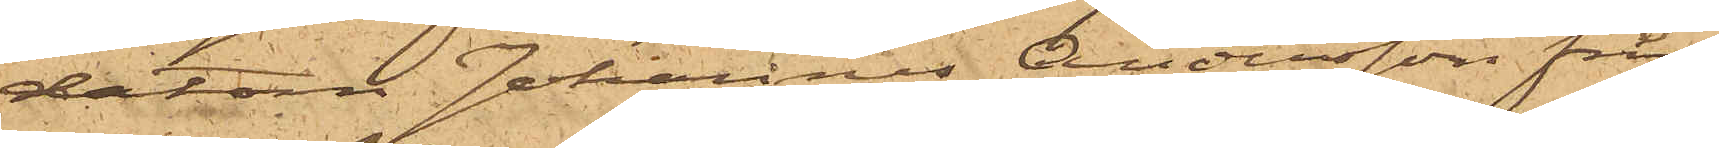datorn Johannes Andersson från
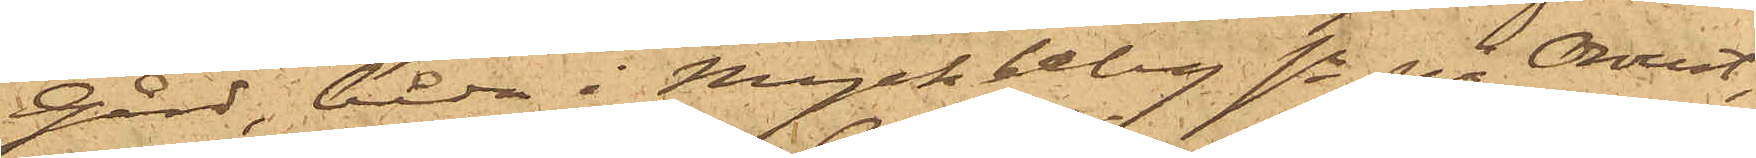Gård, båda i Myckleby sn på Oroust,
